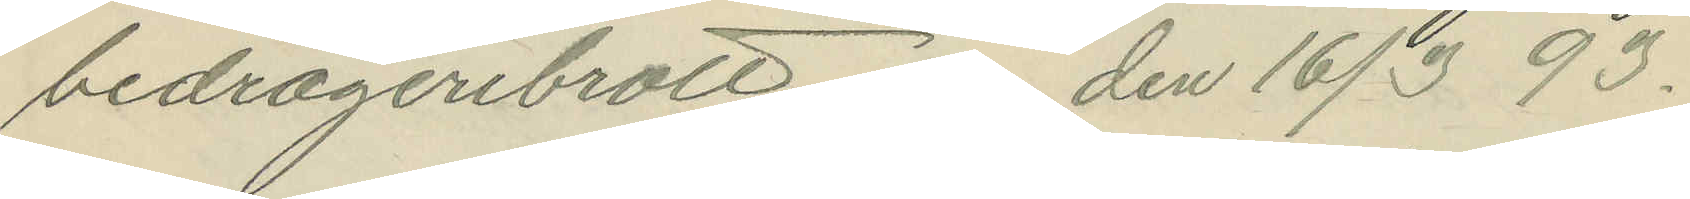bedrägeribrott den 16/3 93.
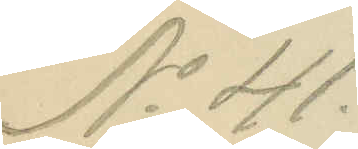No 41.
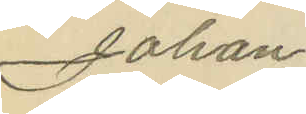Johan
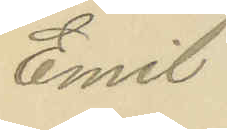Emil
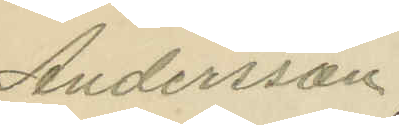Andersson,
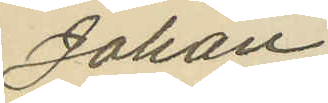Johan
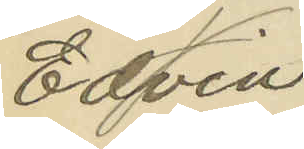Edvin
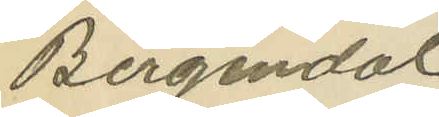Bergendal
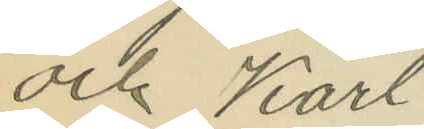och Karl
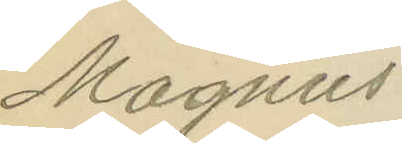Magnus
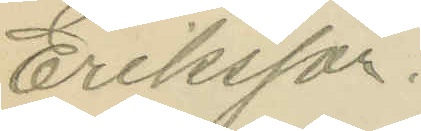Eriksson.
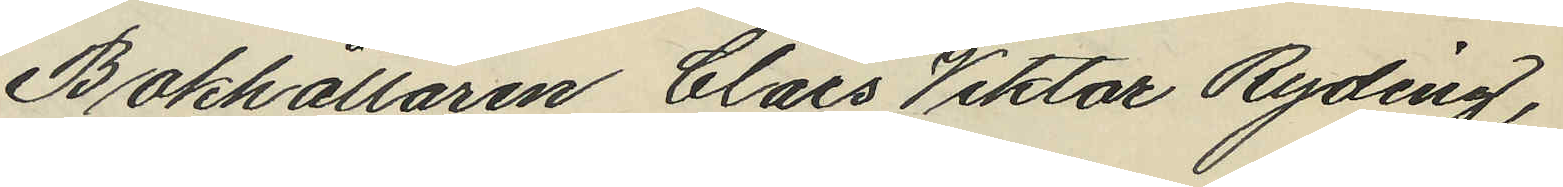Bokhållaren Claes Viktor Ryding,
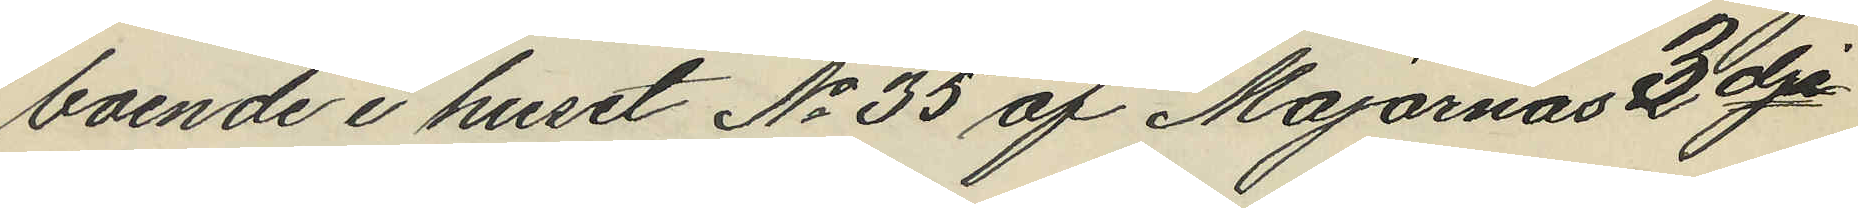boende i huset No 35 af Majornas 3dje
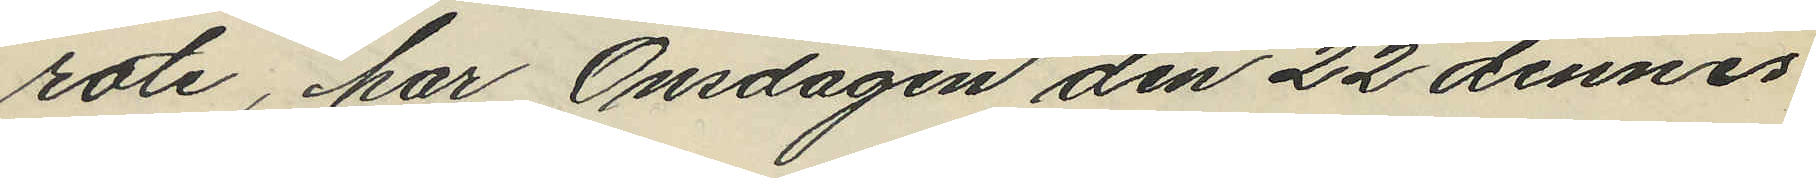rote, har Onsdagen den 22 dennes
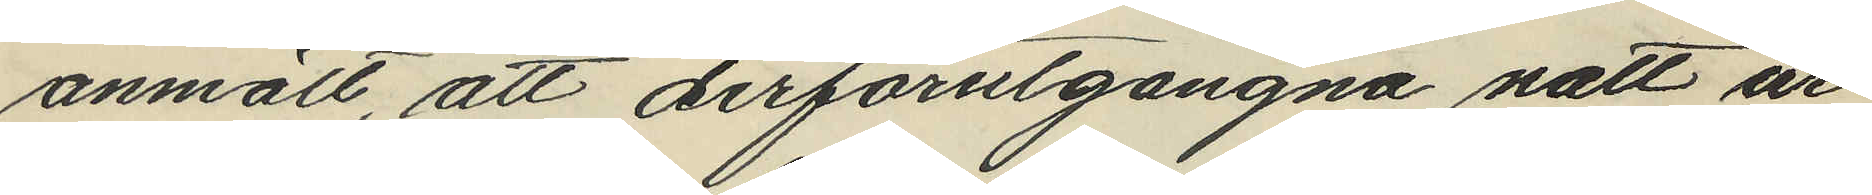anmält, att derförutgångna natt ur
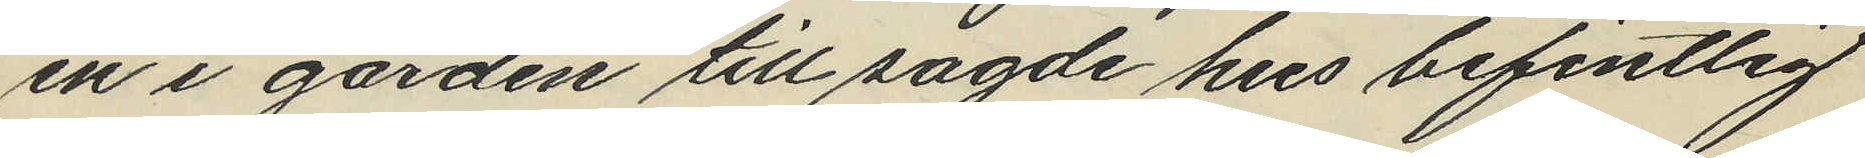en i gården till sagde hus befintlig
